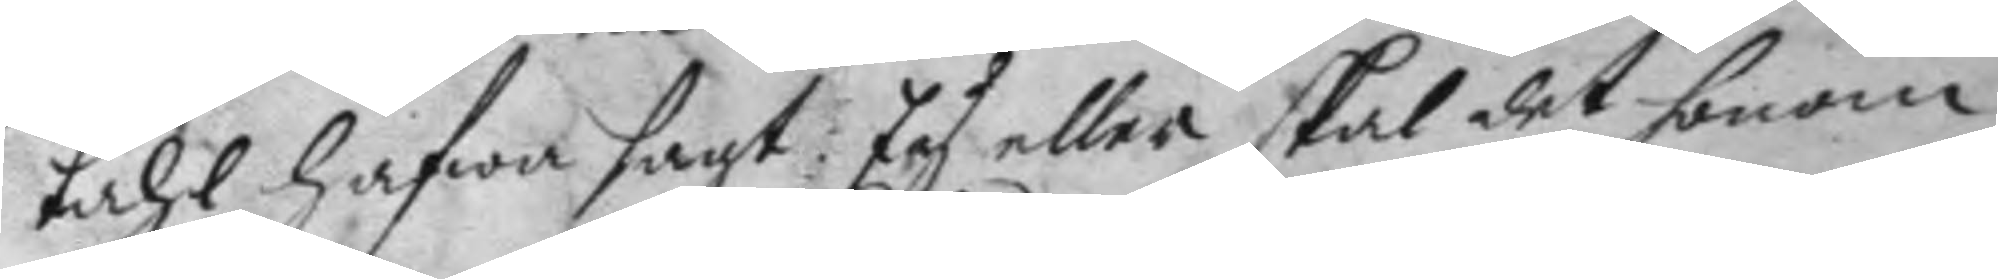tahl hafwa sagt: Ey eller skal det honom
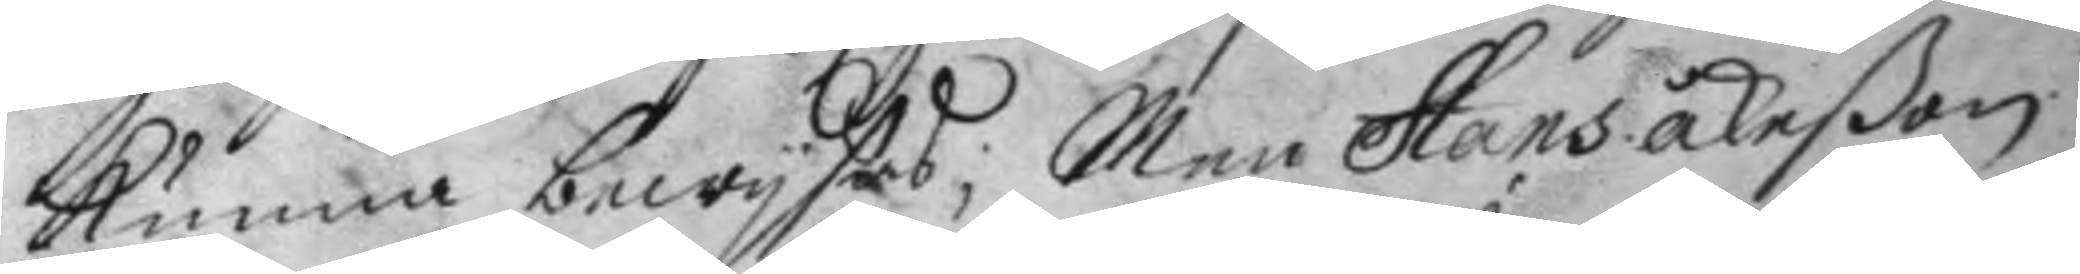kunna bewysas; Men Hans Åkeßon
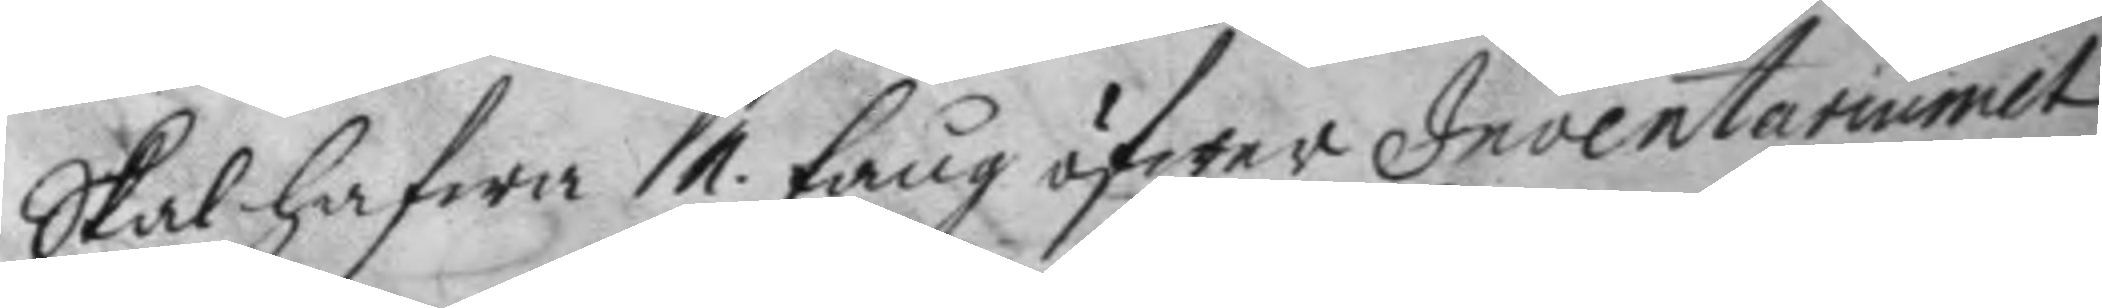skal hafwa 1. tång öfwer Inventariumet
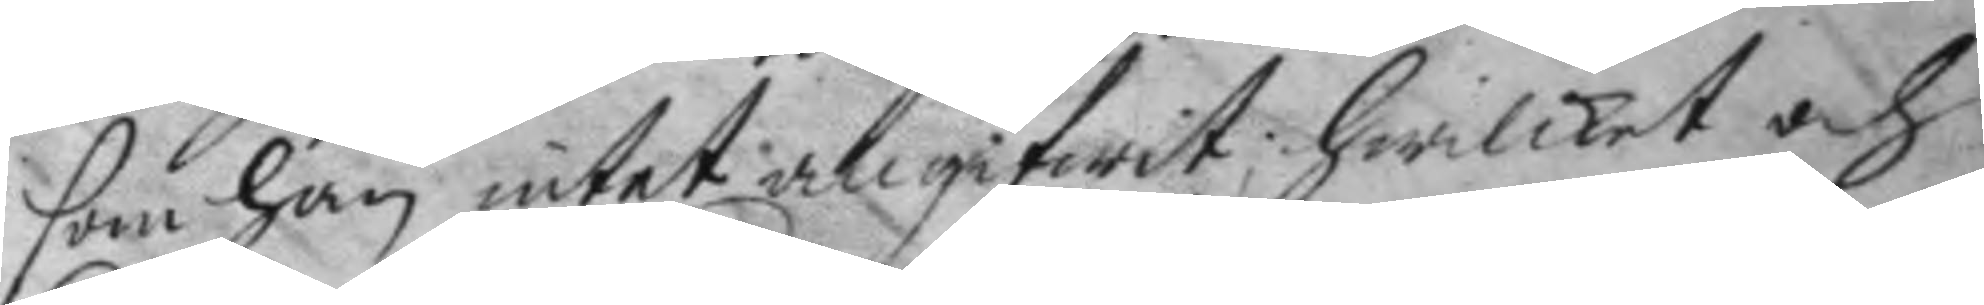som han intet angifwit; hwilket och
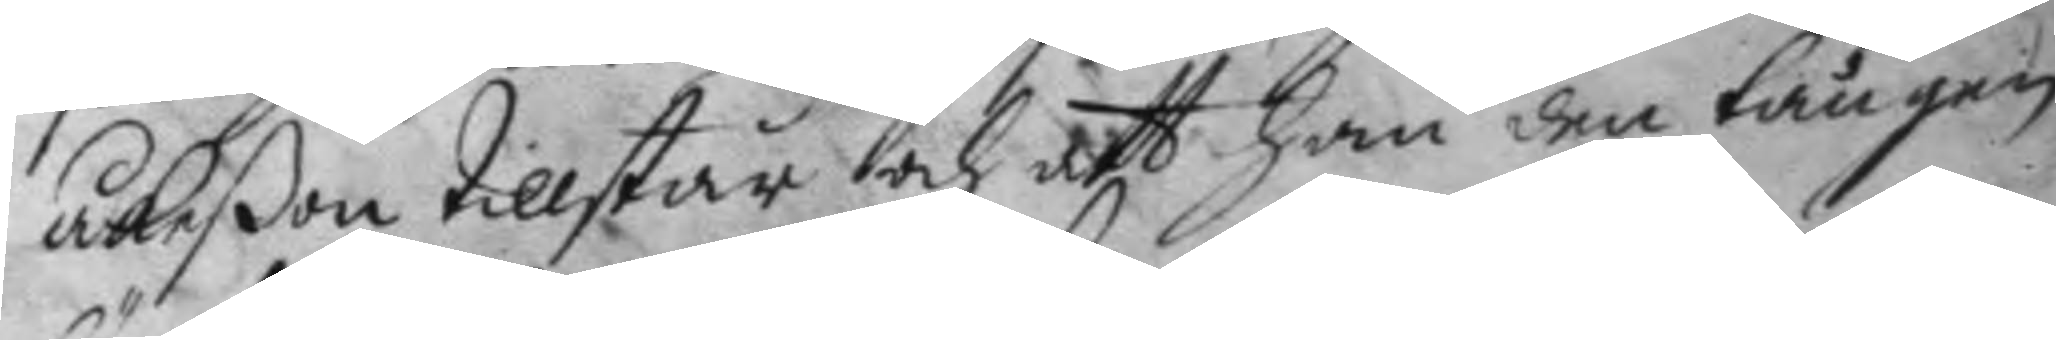Åkeßon tillstår och att han den tången
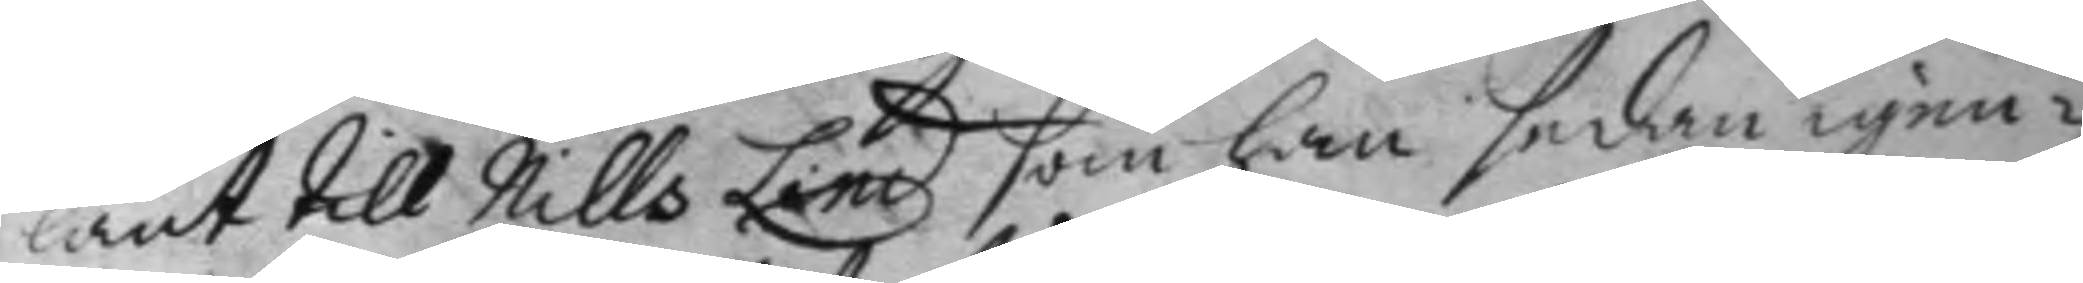länt till Nills Lind som han sedan igen¬
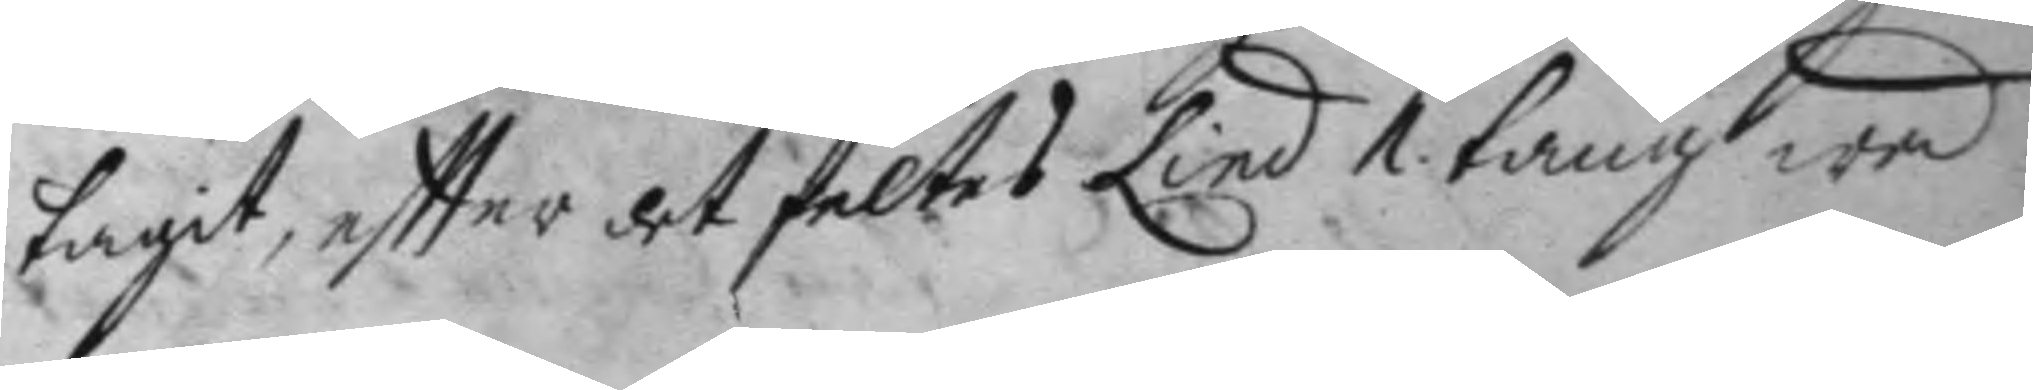tagit, eftter det feltes Lind 1. tång wad
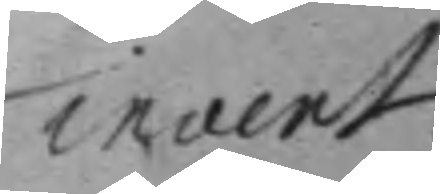invent
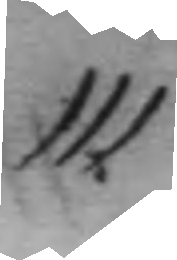111.
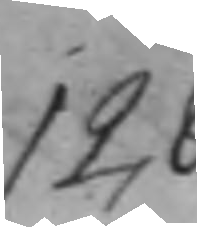128.
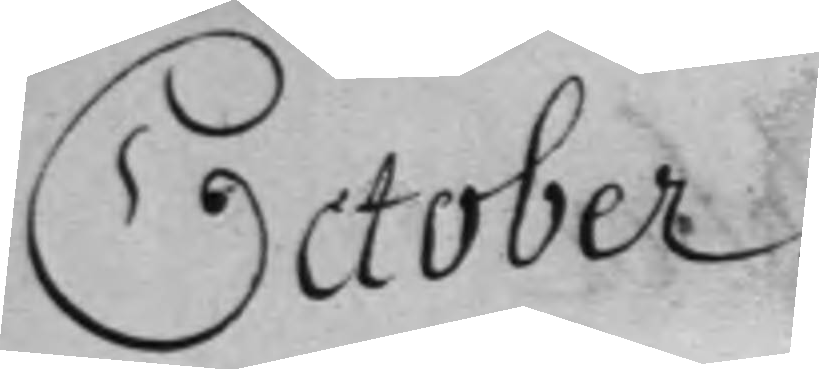October.
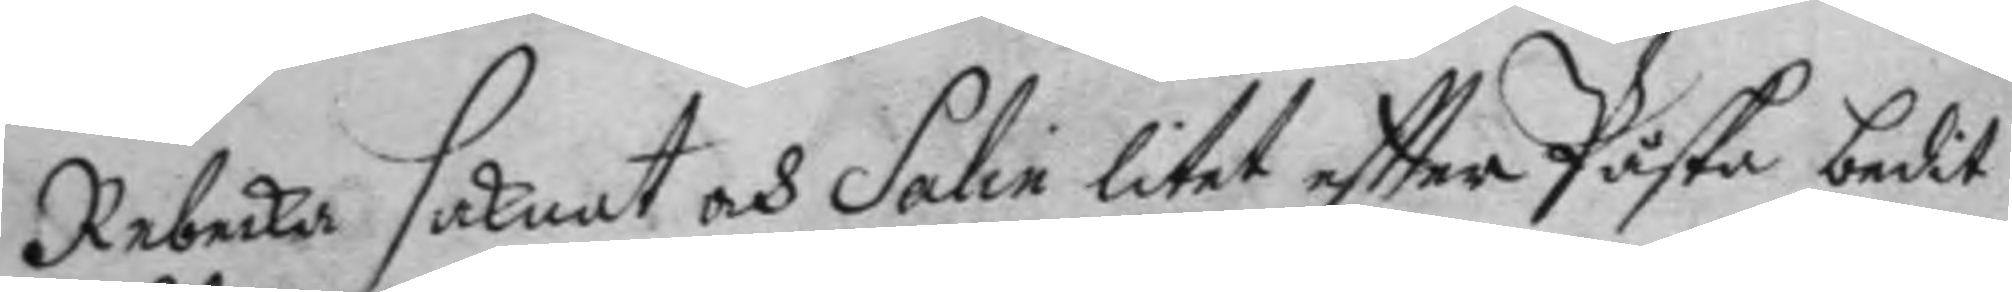Rebecka saknat och Salin litet eftter Påska bedit
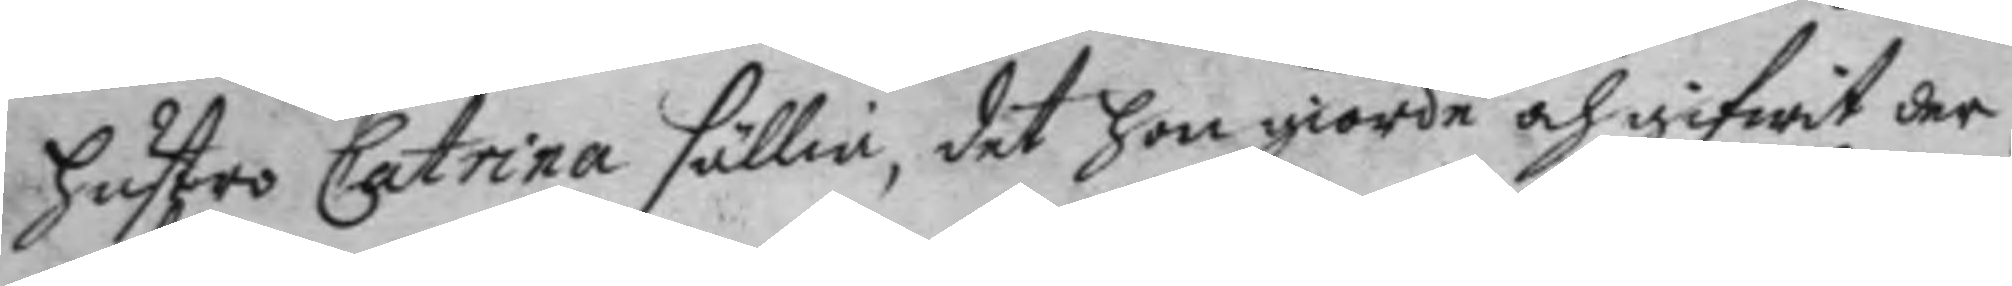hustro Catrina sällia, det hon giorde och gifwit der
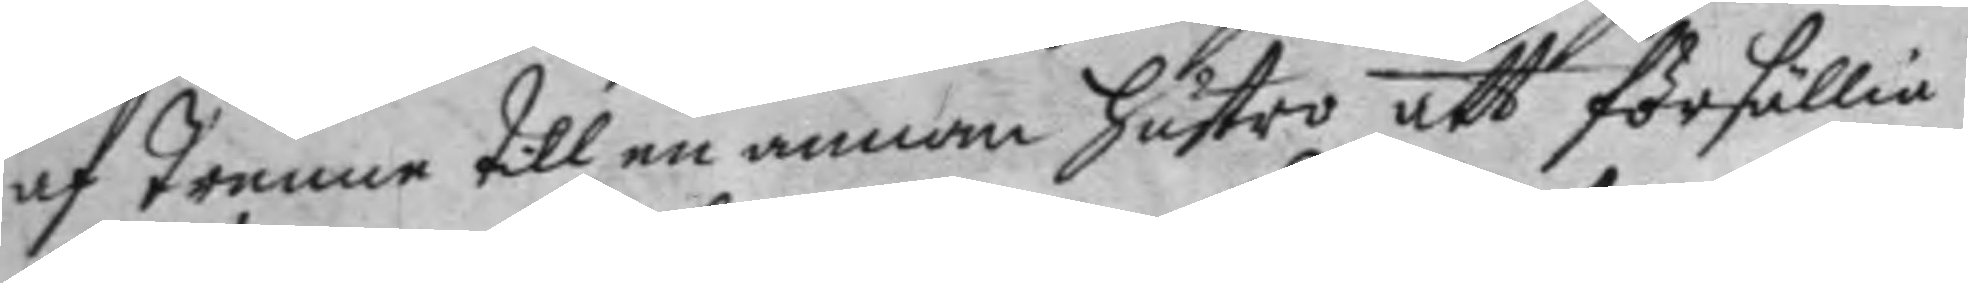af Trenne till en annan hustro att försällia
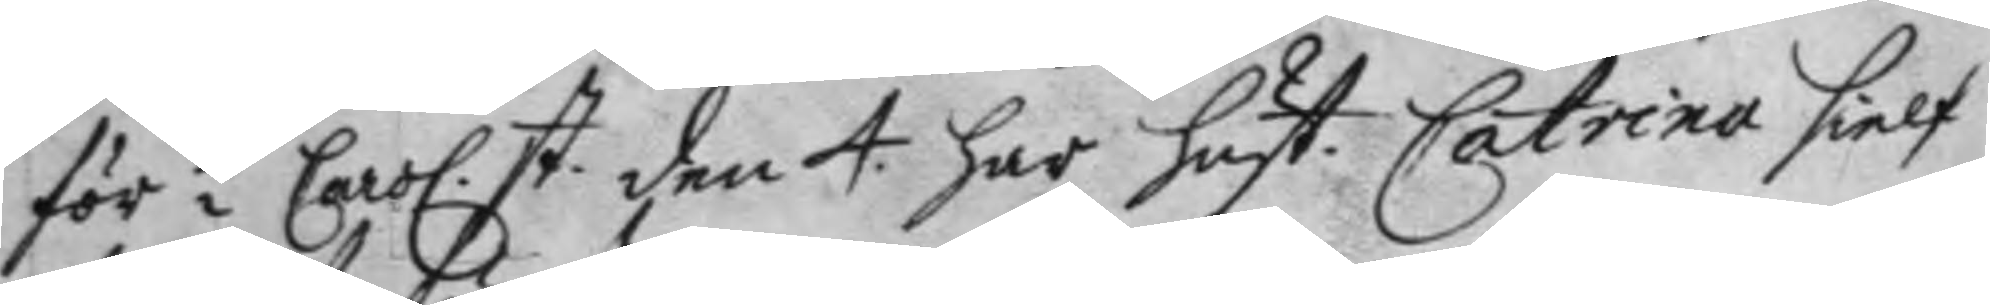för ½  Caro. st. den 4. har hust: Catrina sielf 
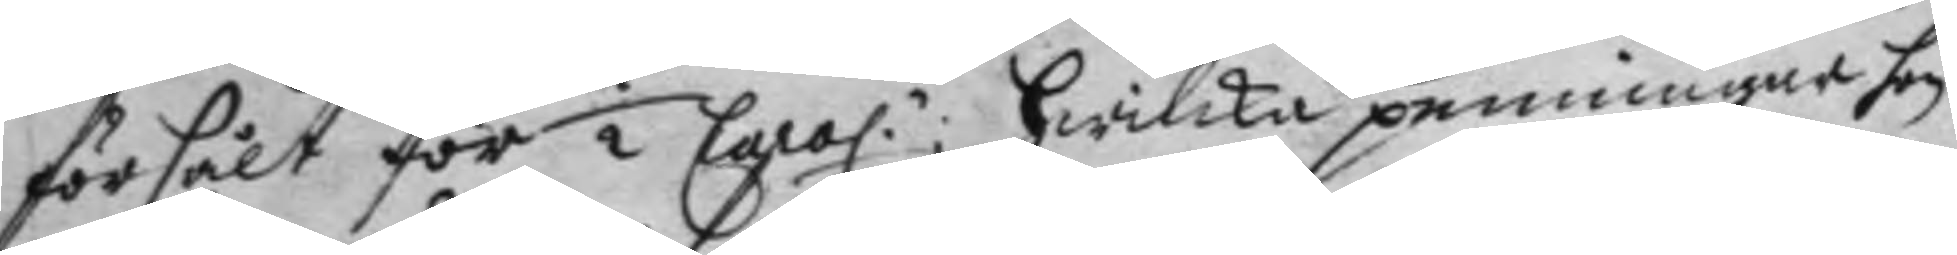försålt för 2 Caro.r; hwilka penningar hon 
